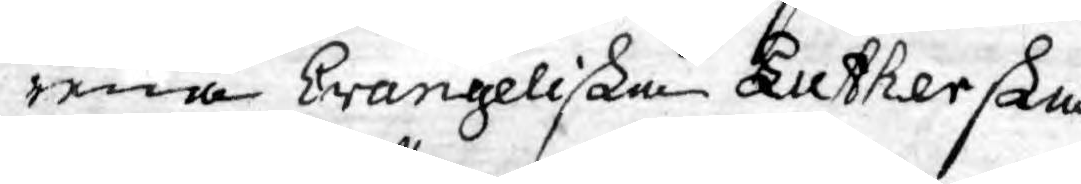rena Evangeliska Lutherska
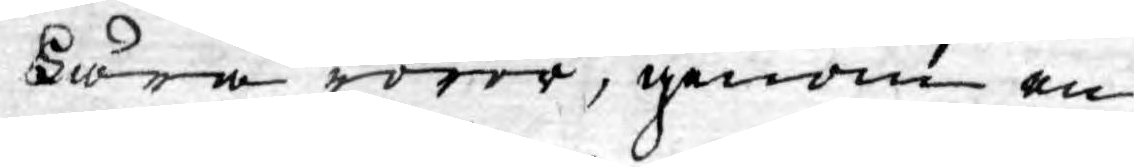Lära rörer, genom en
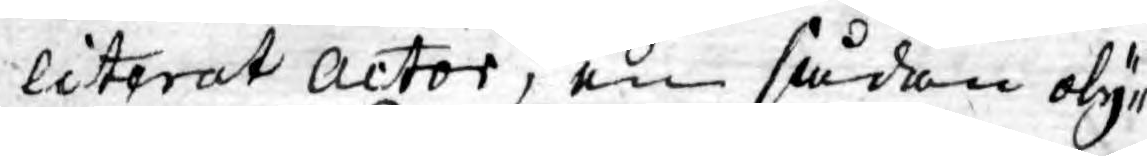literat Actor, en sådan oly¬
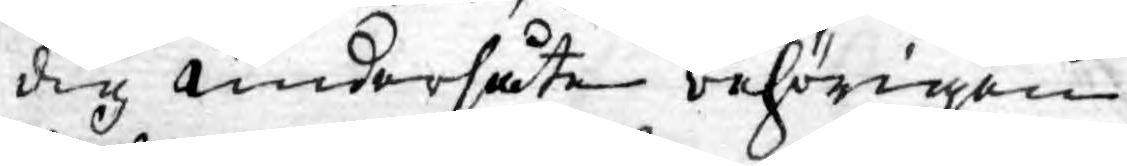dig undersåte behörigen
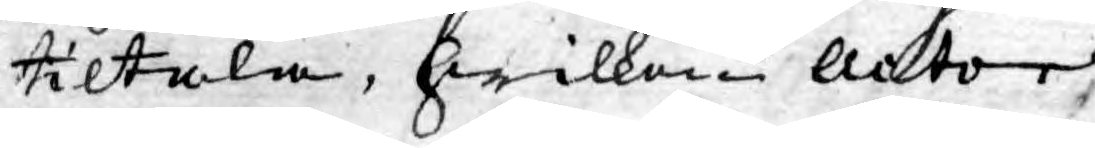tiltala, hwilken Actor,
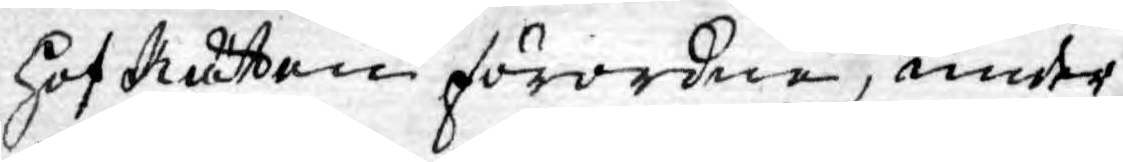HofRätten förordna, under
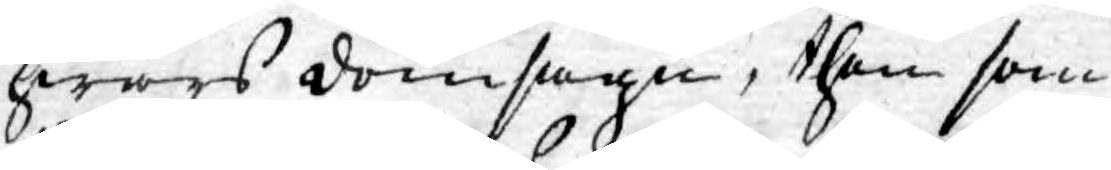hwars domsagu, then som
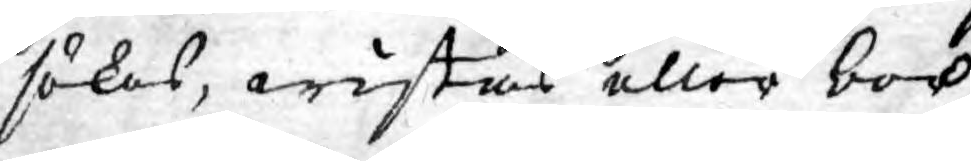sökes, wistas eller bor.
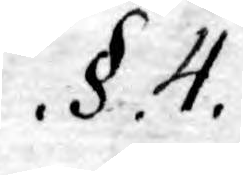.§. 4.
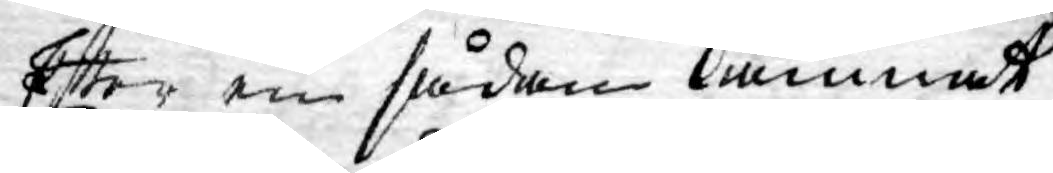Efter en sådan lämnat
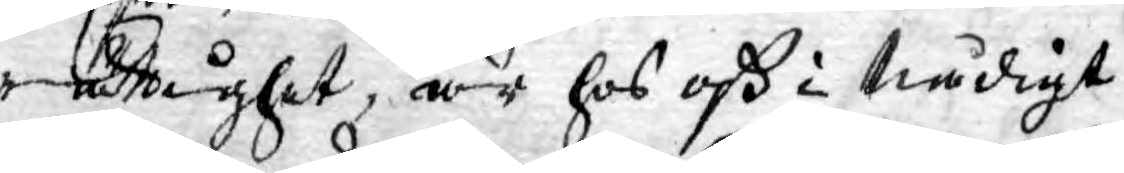rätttighet, är hos oß i Nådigt
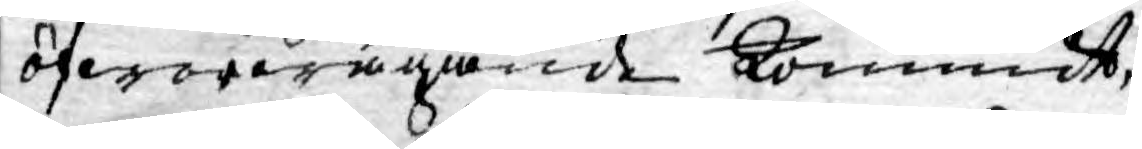öfwerwägande kommit,
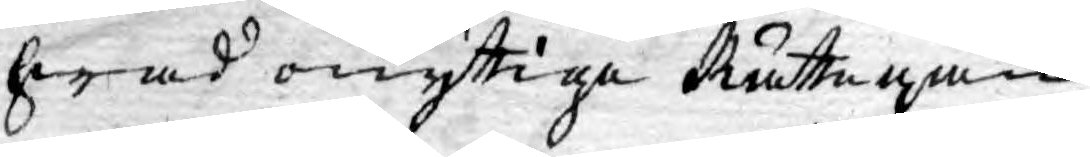hwad onyttige Rättegån¬
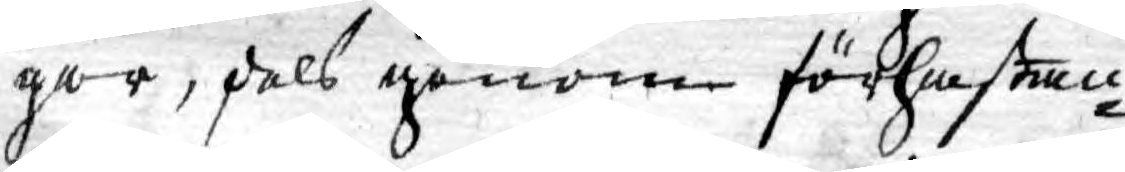gar, dels genom förhastan¬
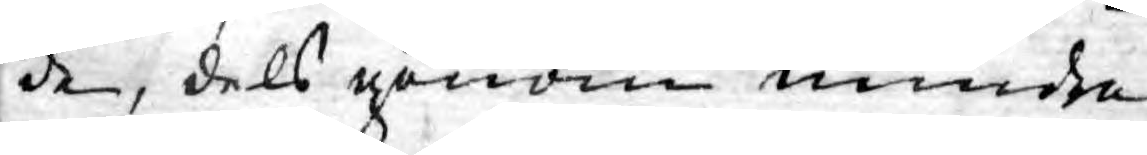de, dels genom mindre
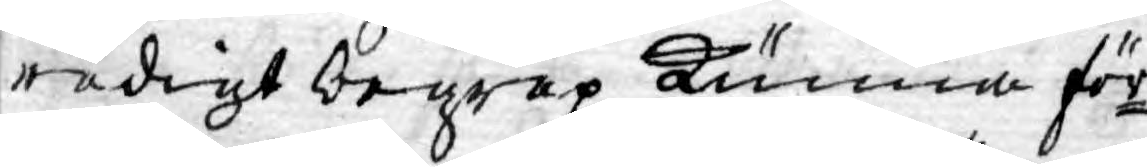redigt begrep kunna för¬
